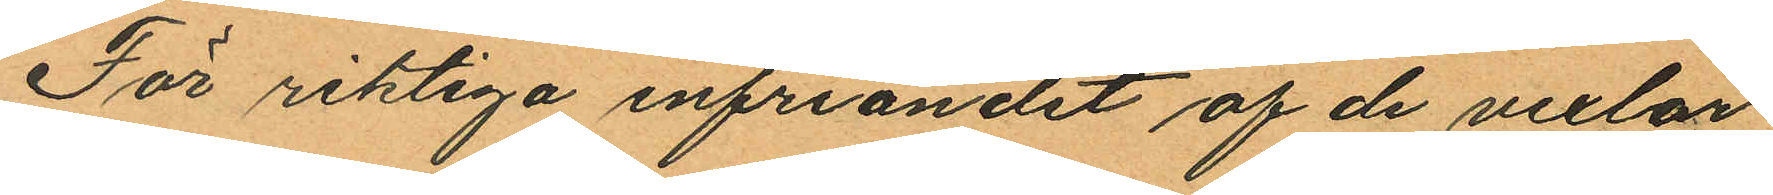För riktiga infriandet af de vexlar
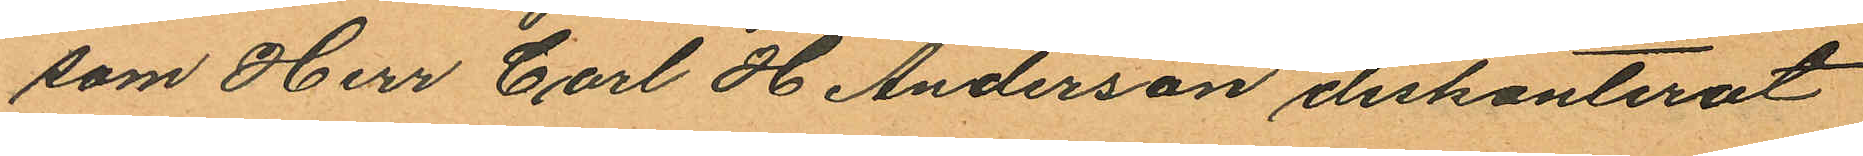som Herr Carl H Anderson diskonterat
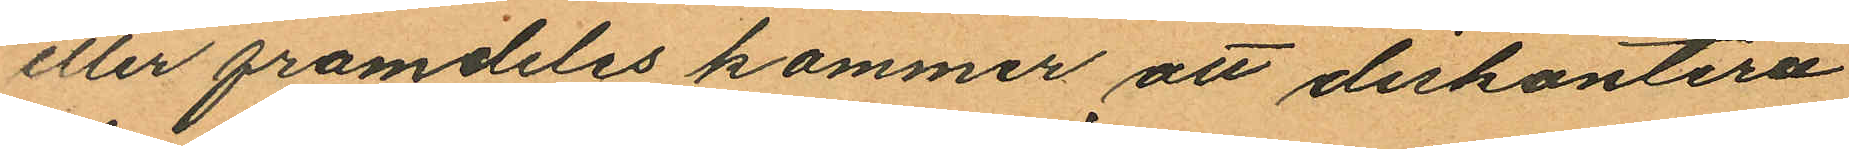eller framdeles kommer att diskontera
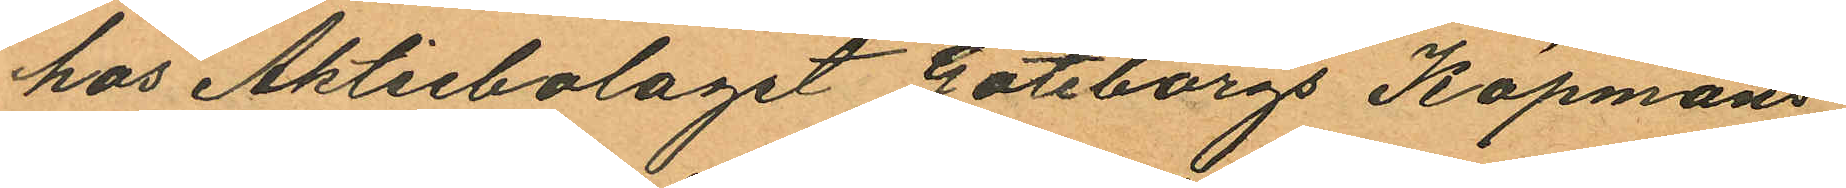hos Aktiebolaget Göteborgs Köpmans¬
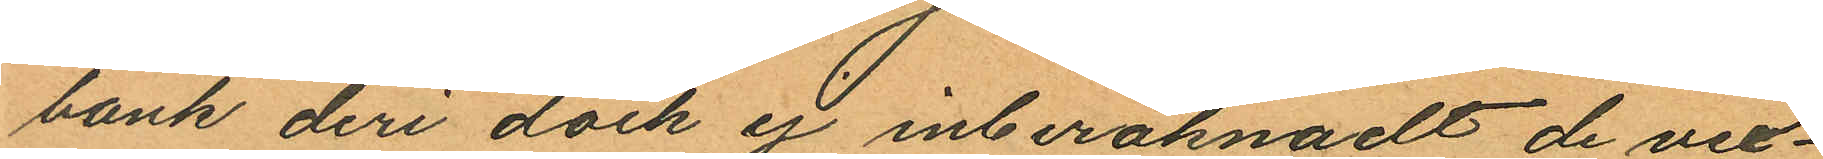bank deri dock ej inberäknadt de vex¬
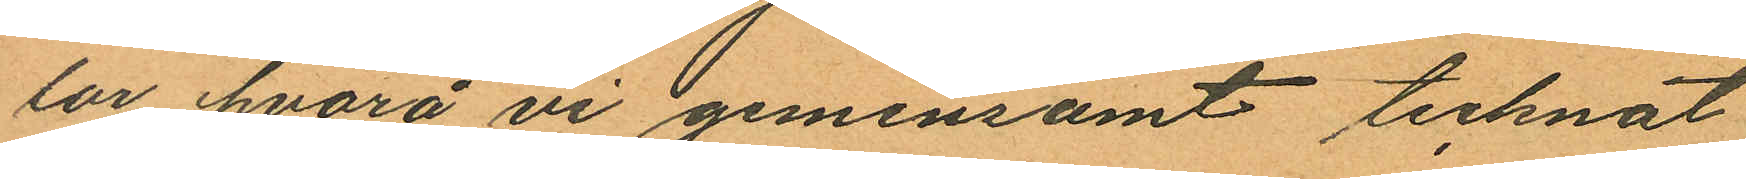lar hvarå vi gemensamt tecknat
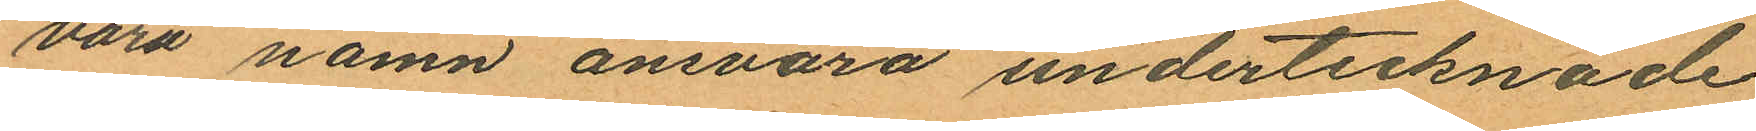våra namn ansvara undertecknade
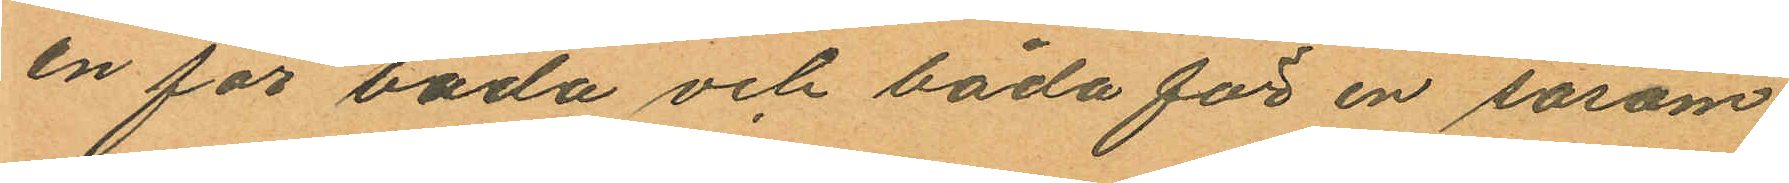en för båda och båda för en såsom
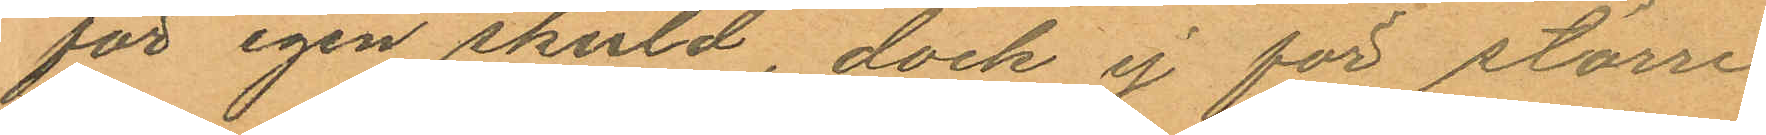för egen skuld, dock ej för större
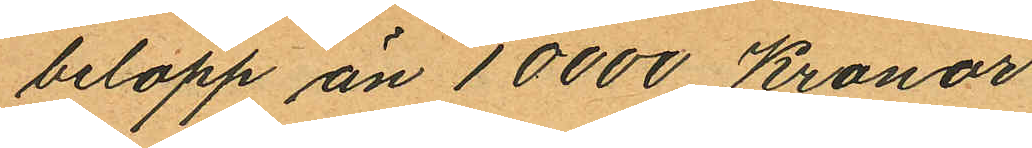belopp än 10000 Kronor
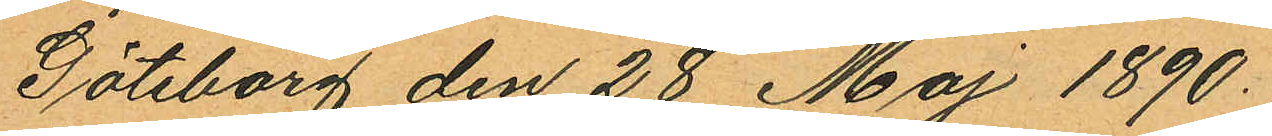Göteborg den 28 Maj 1890.
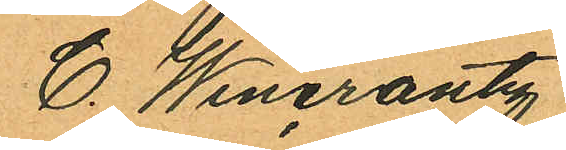C. Wincrantz
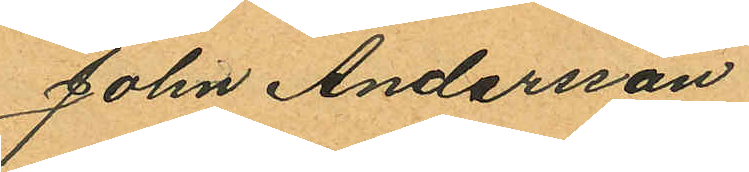John Andersson
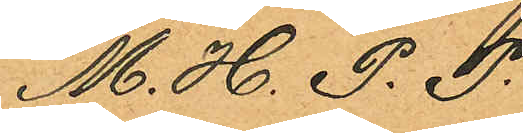M. H. P. P.
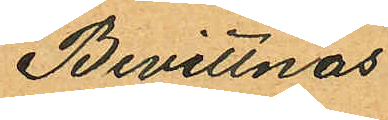Bevittnas
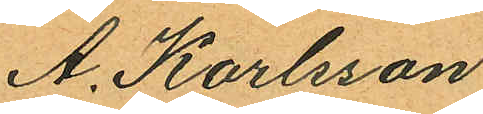A. Karlsson
